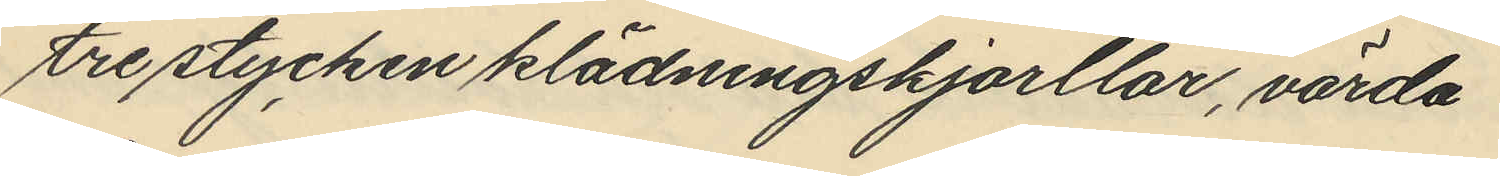tre stycken klädningskjorllar, värda
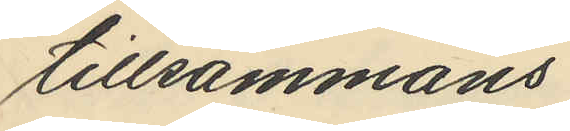tillsammans
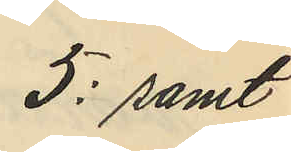5: samt
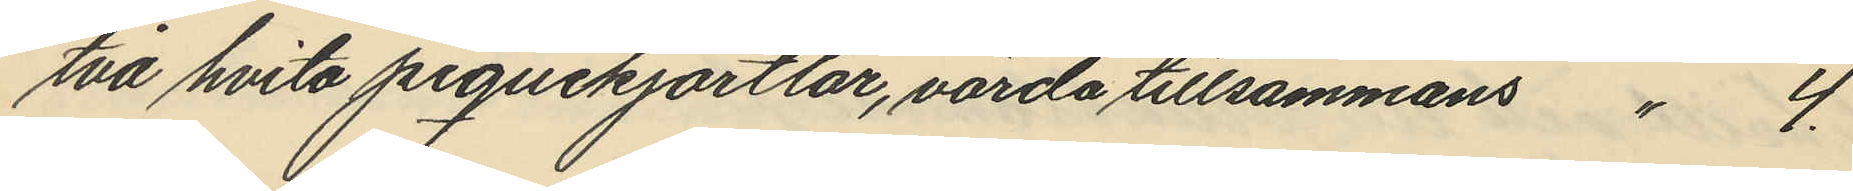två hvita piquekjortlar, värda tillsammans " 4.
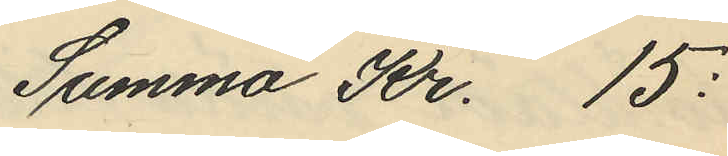Summa Kr. 15:
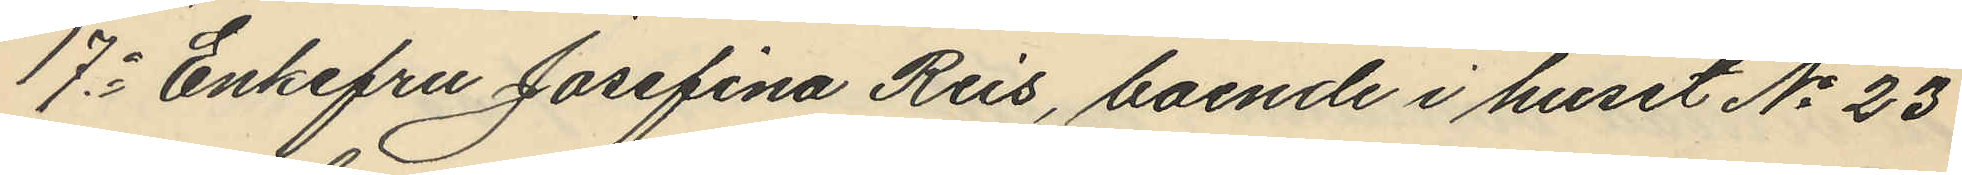17o Enkefru Josefina Reis, boende i huset No 23
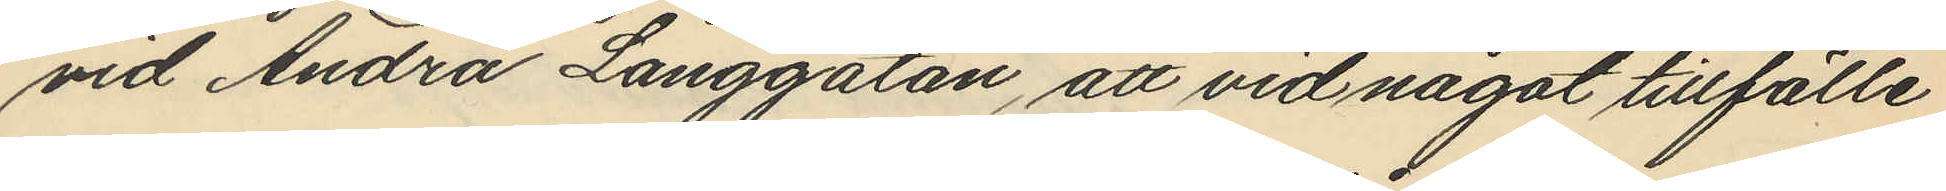vid Andra Långgatan, att vid något tillfälle
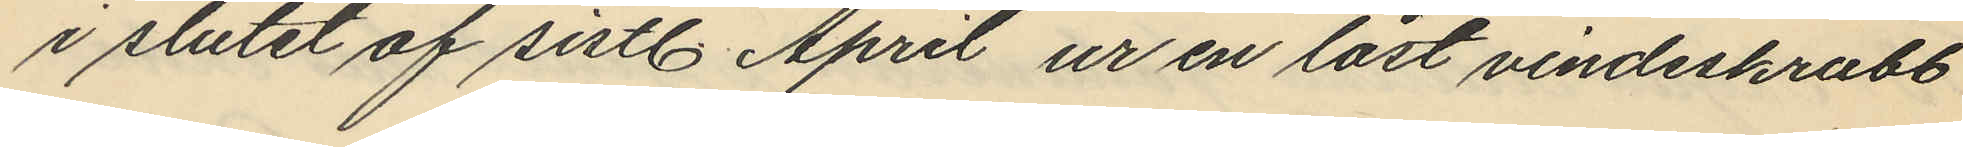i slutet af sistl. April ur en låst vindsskrubb
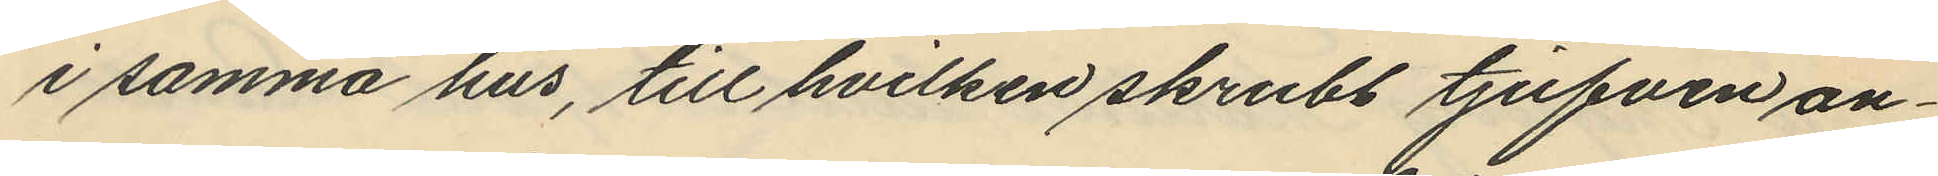i samma hus, till hvilken skrubb tjufven an¬
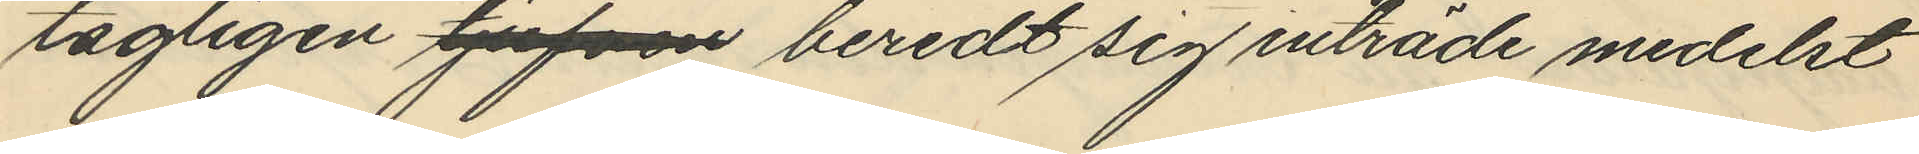tagligen tjufven beredt sig inträde medelst
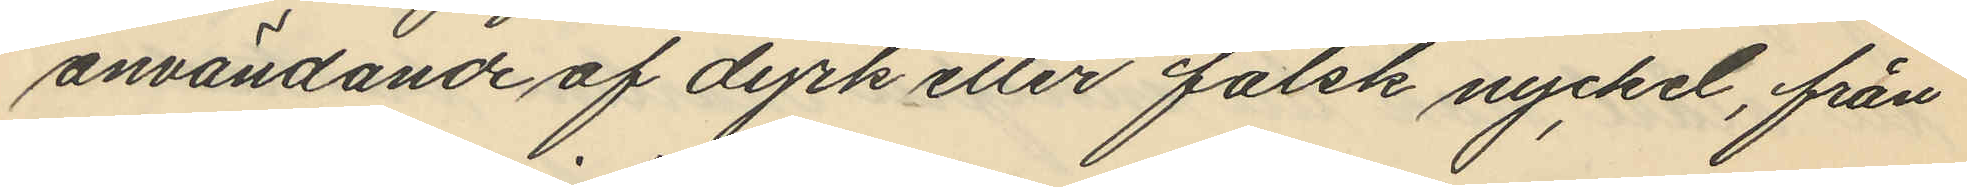användande af dyrk eller falsk nyckel, från
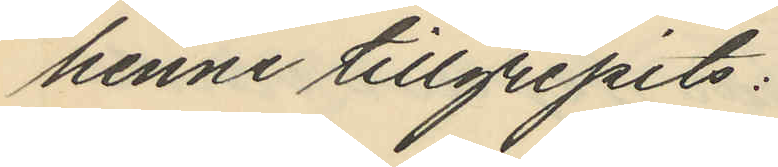henne tillgripits:
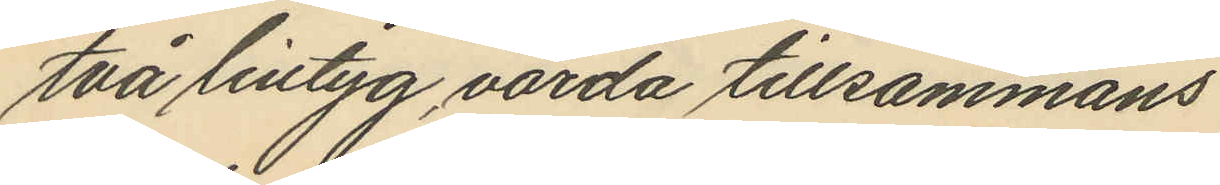två lintyg värda tillsammans
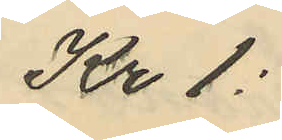Kr 1:
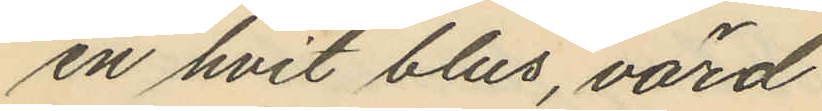en hvit blus, värd
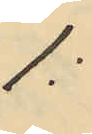1:
